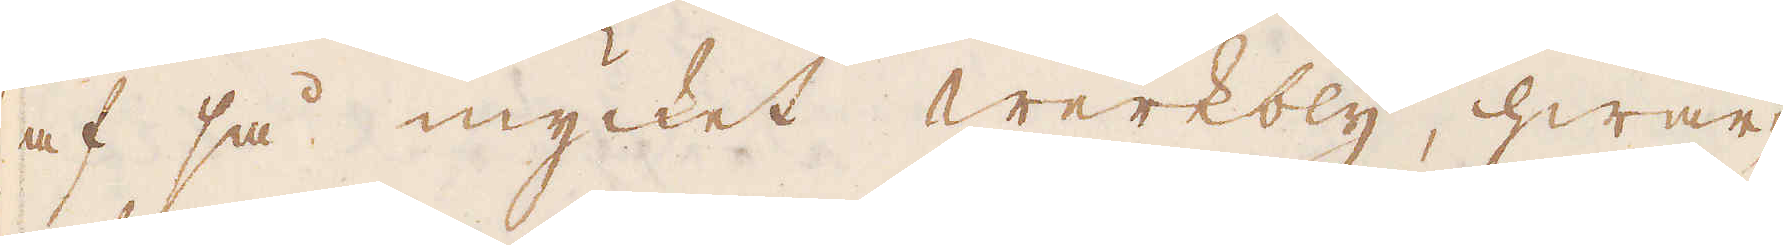af så mycket werkbly, hwar-
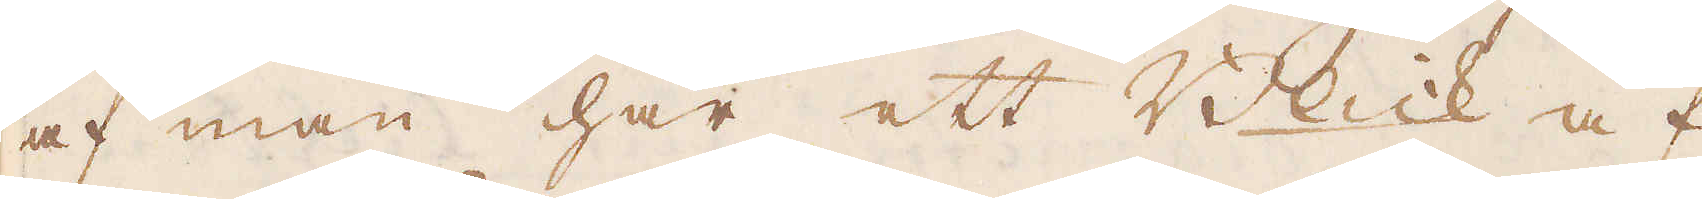af man har ett Blick af
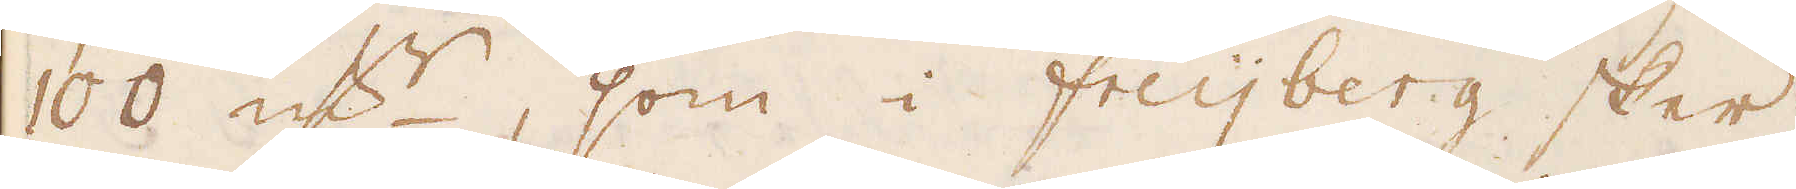100 qv:r, som i Freijberg sker;
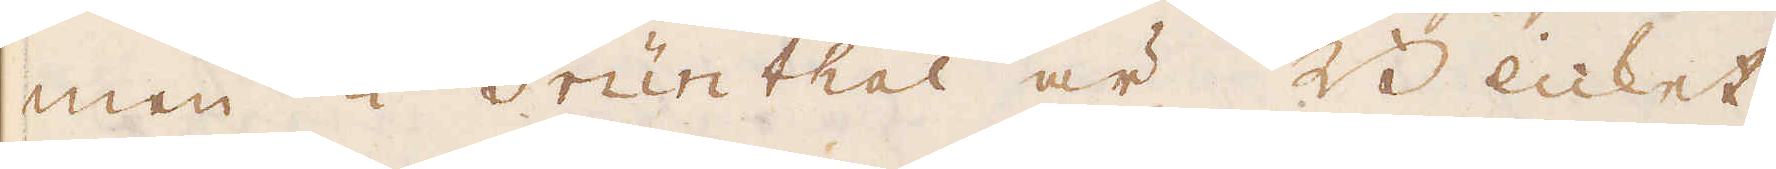men i Grünthal är Blicket
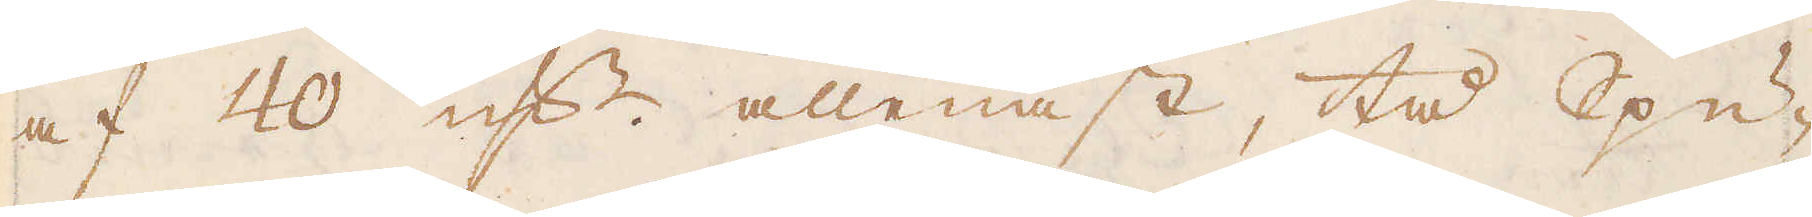af 40 qv:r allenast, tå Spu-
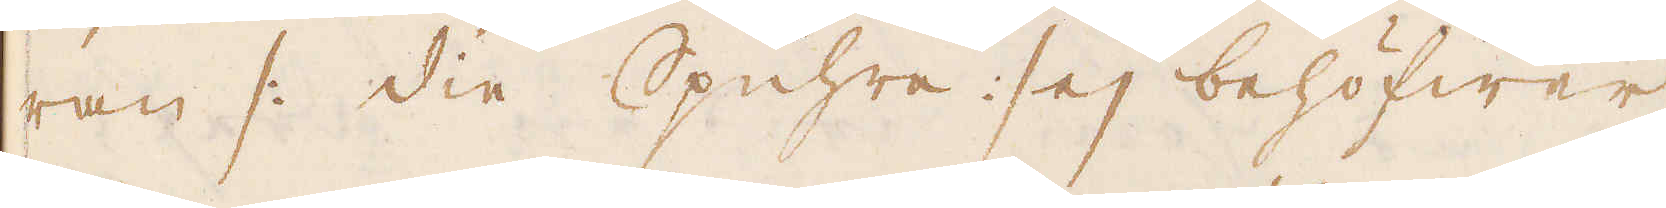ran /: die Spuhre :/ ej behöfwer
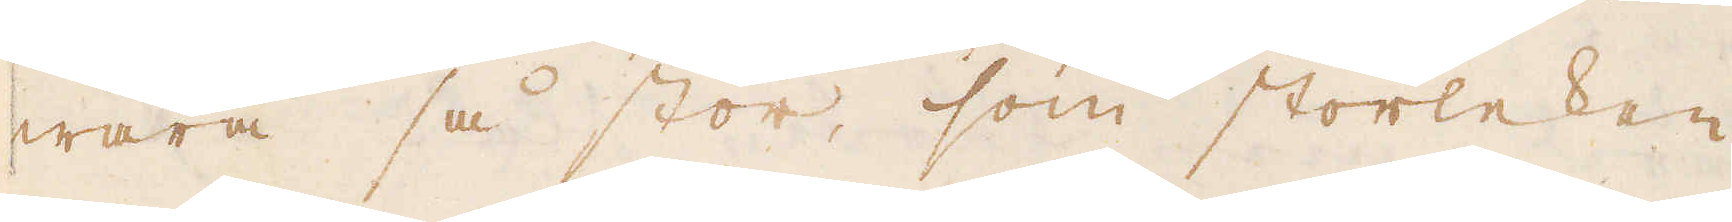wara så stor, som storleken
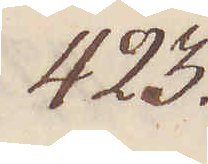423.
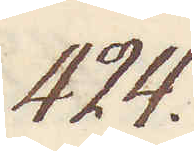424.
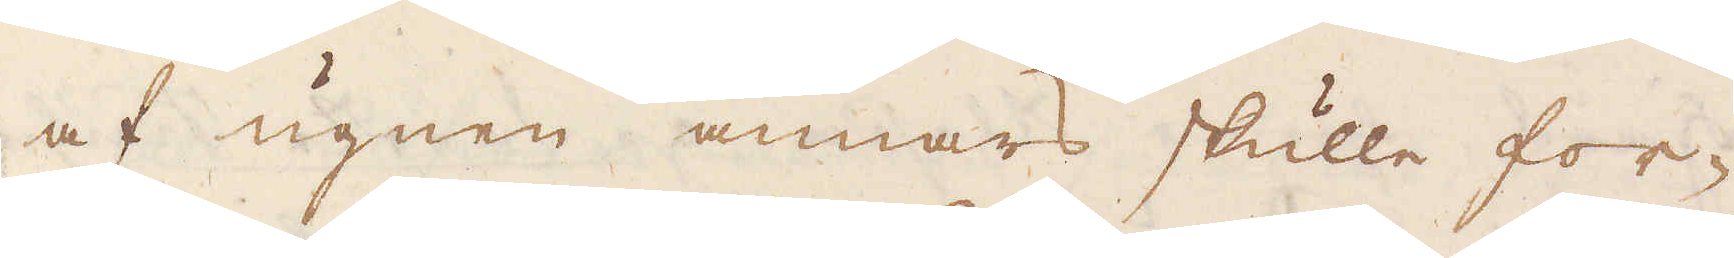af ugnen annars skulle for-
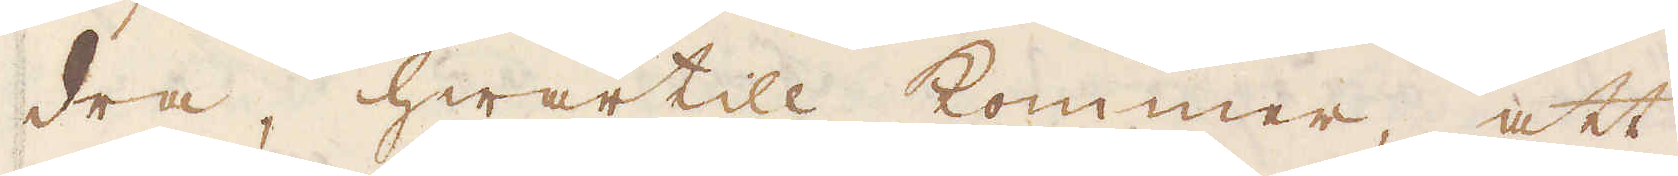dra, hwartill kommer att
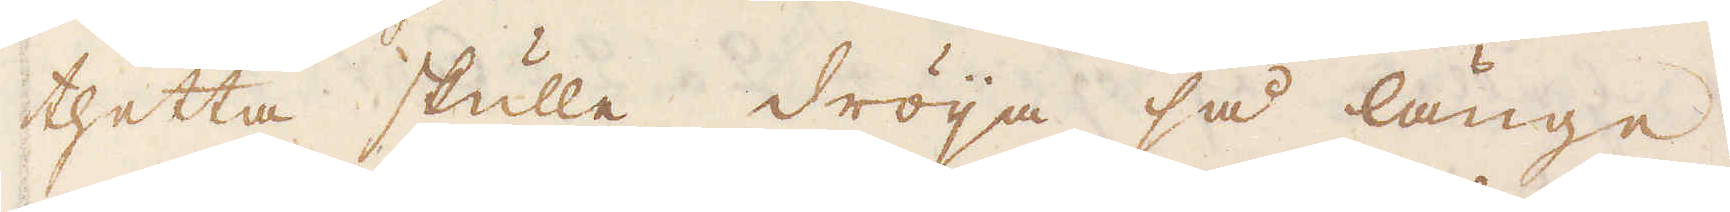thetta skulle dröja så länge
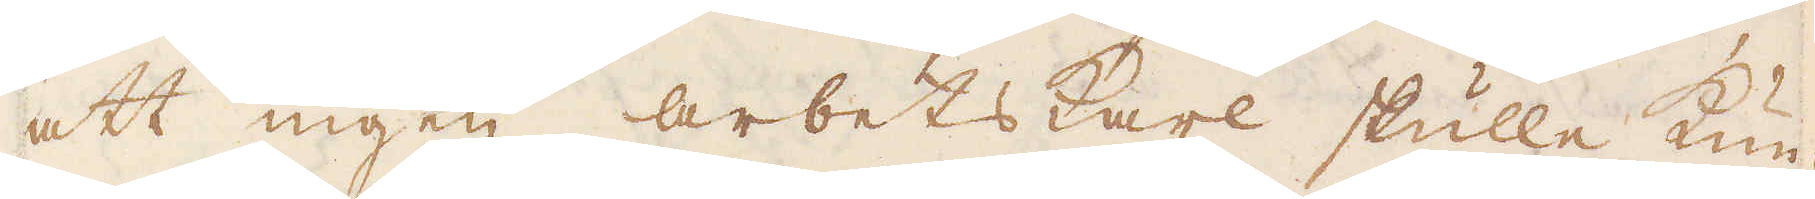att ingen arbetskarl skulle kun-
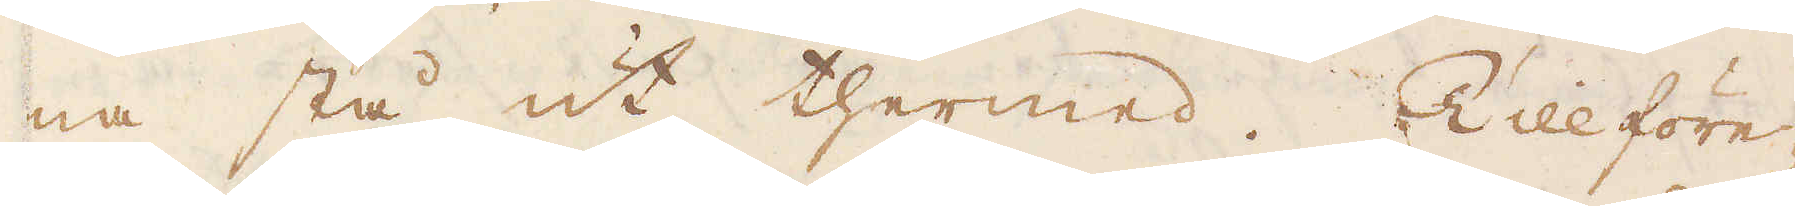na stå ut thermed. Tillföre-
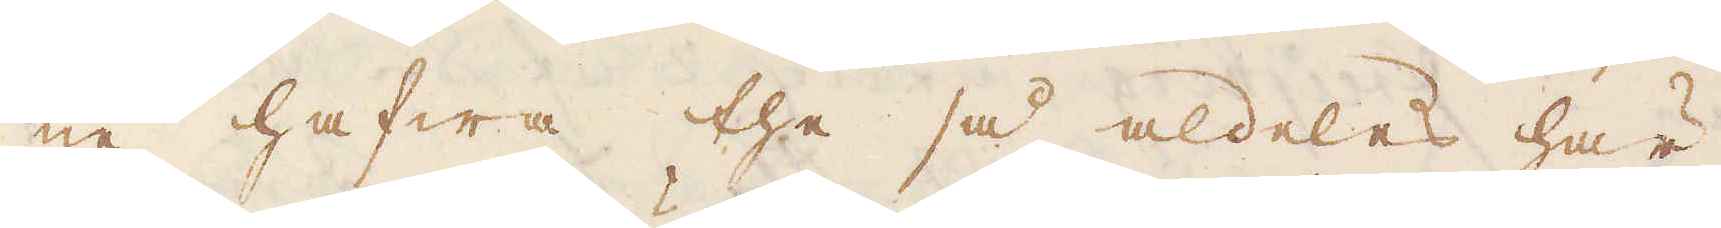ne hafwa the så aldeles här
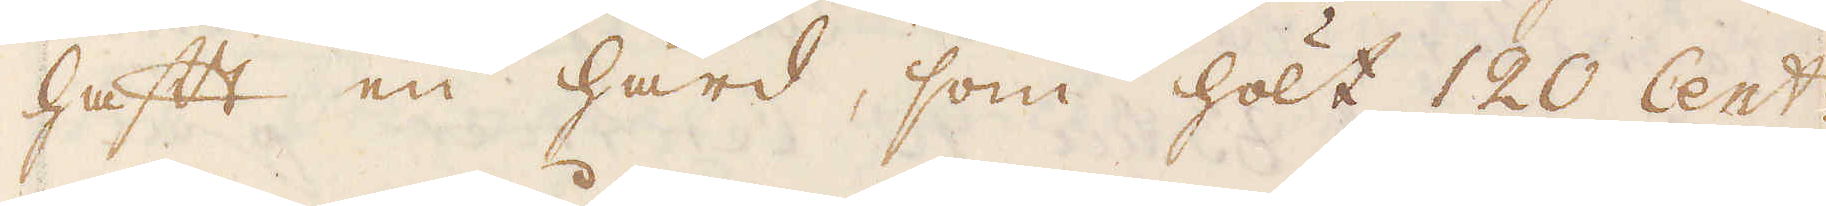haft en härd, som hölt 120 Centr
